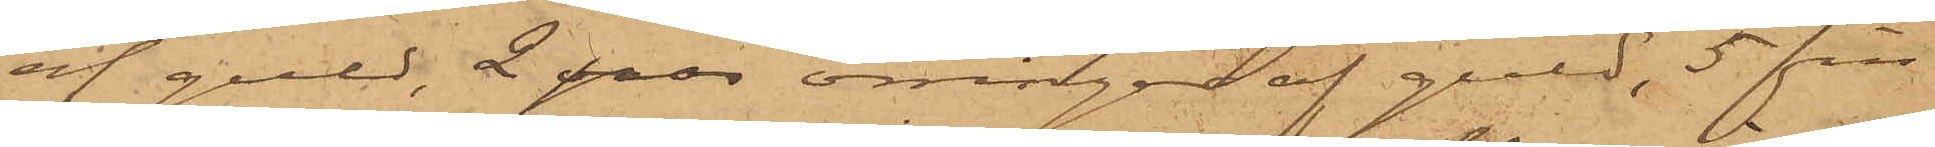af guld, 2 par örringar af guld, 5 fin¬
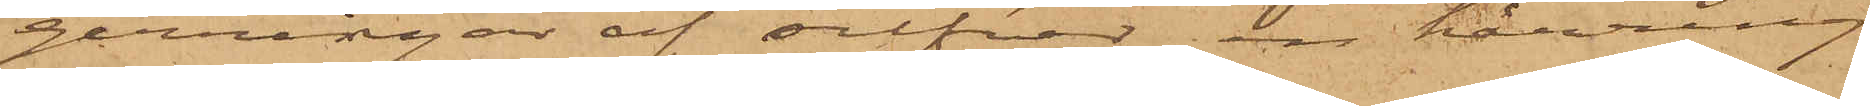gerringar af silfver, en hårring
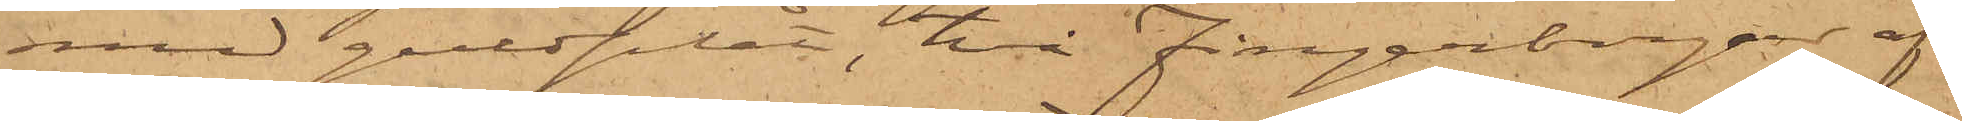med guldplåt, två fingerborgar af
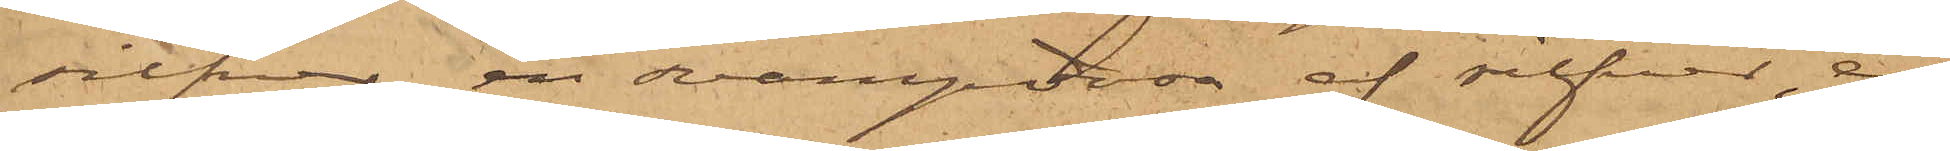silfver, en svampdosa af silfver, en
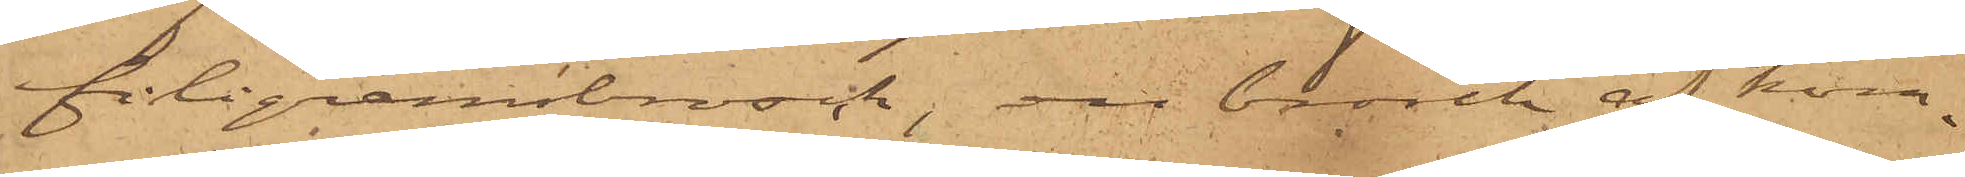filigransbrosch, en brosch af kom¬
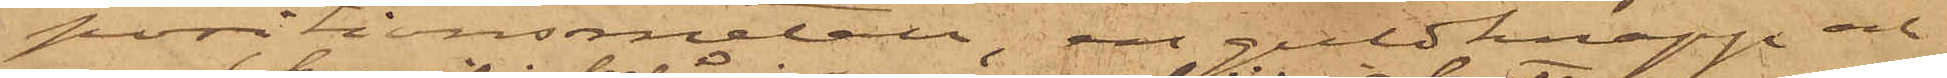positionsmetall, en guldknapp och
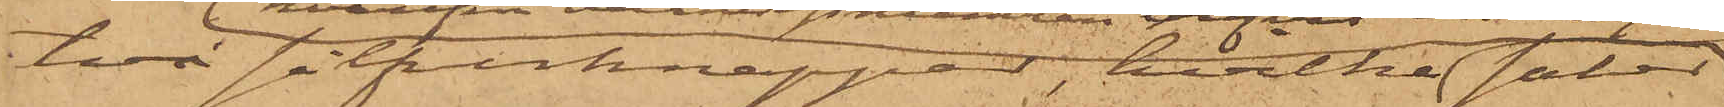två silfverknappar, hvilka saker
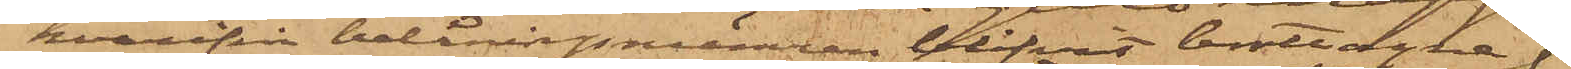hvarifrån belåningsnumren blifvit borttagna 
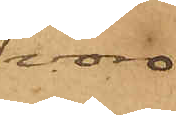voro
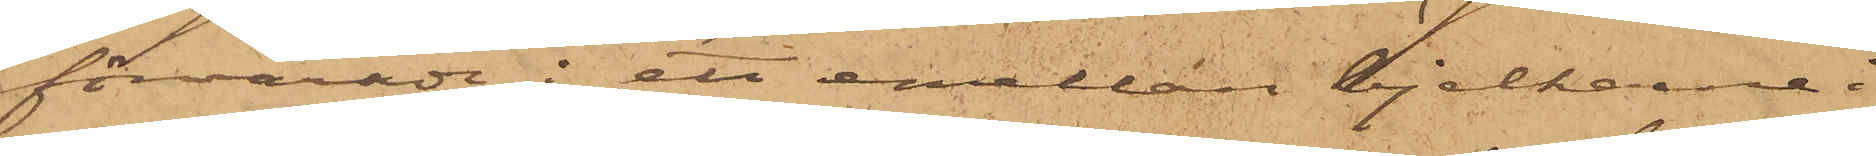förvarade i ett emellan bjelkarne i
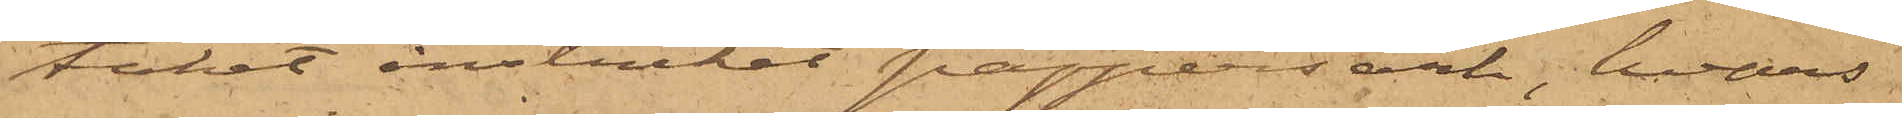taket instucket pappersark, hvars
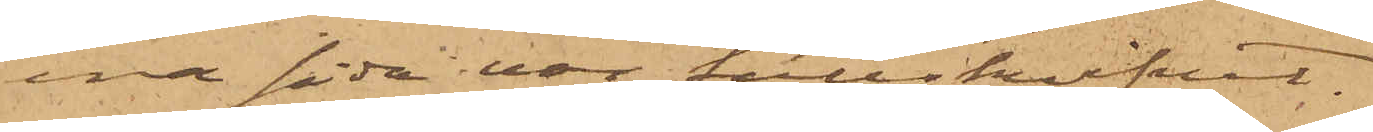ena sida var fullskrifvet.
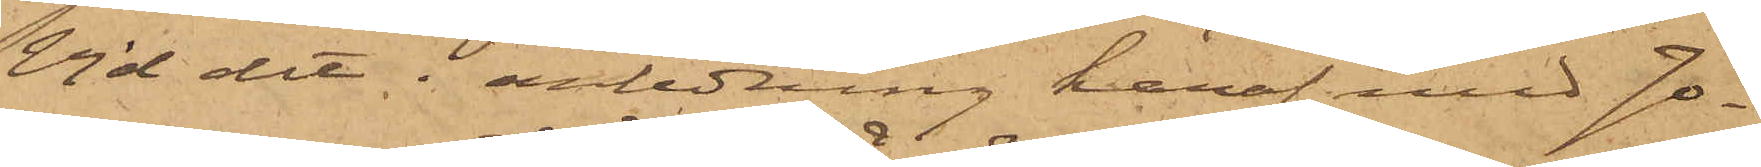Vid det i anledning häraf med Jo¬
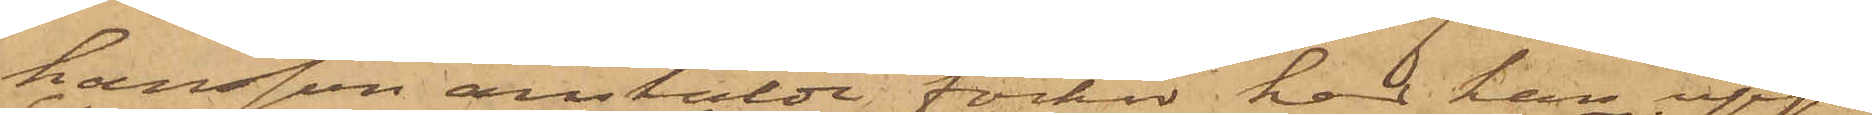hansson anstäldt förhör har han upp¬
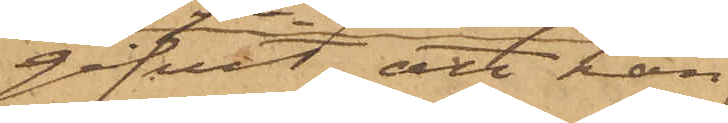gifvit, att han
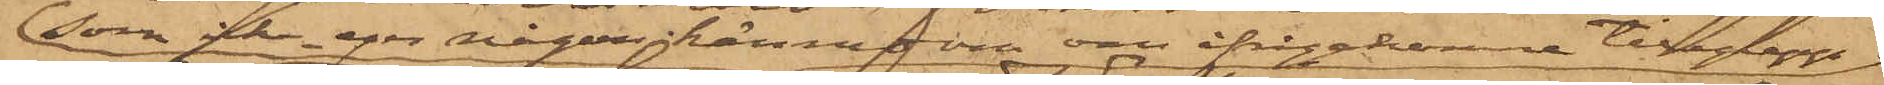som icke eger någon kännedom om ifrågakomne tillgrepp
